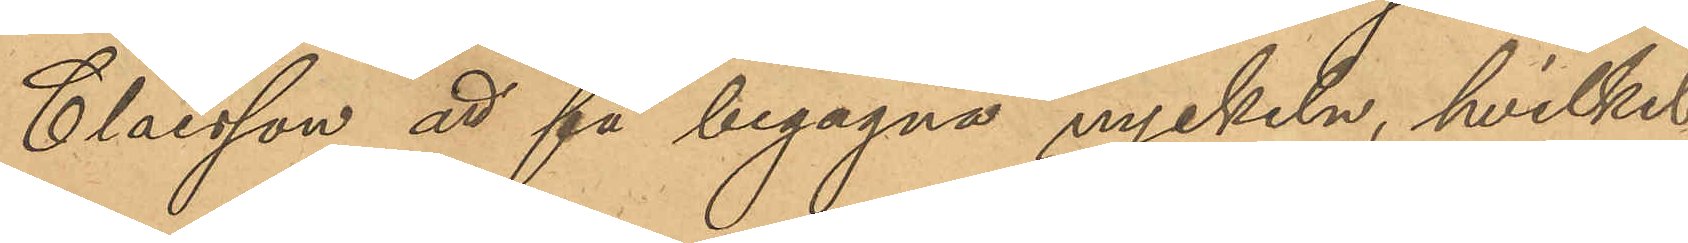Claesson att få begagna nyckeln, hvilket
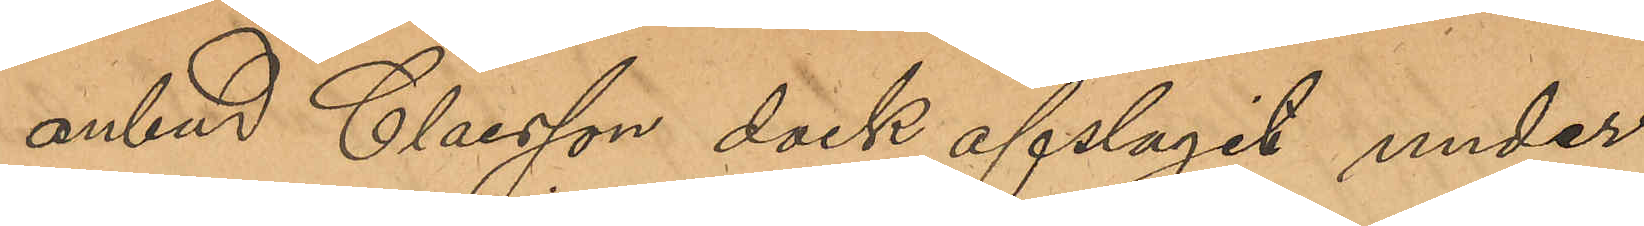anbud Claesson dock afslagit under
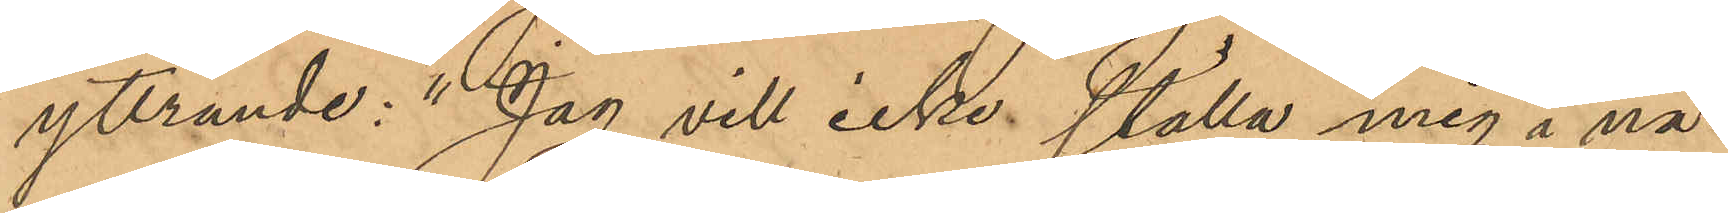yttrande: "Jag vill icke ställa mig i nå¬
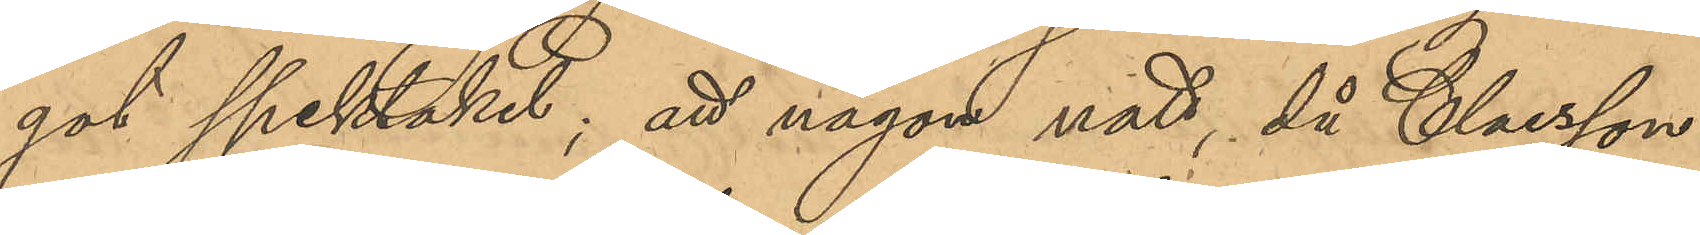got spektakel; att någon natt, då Claesson
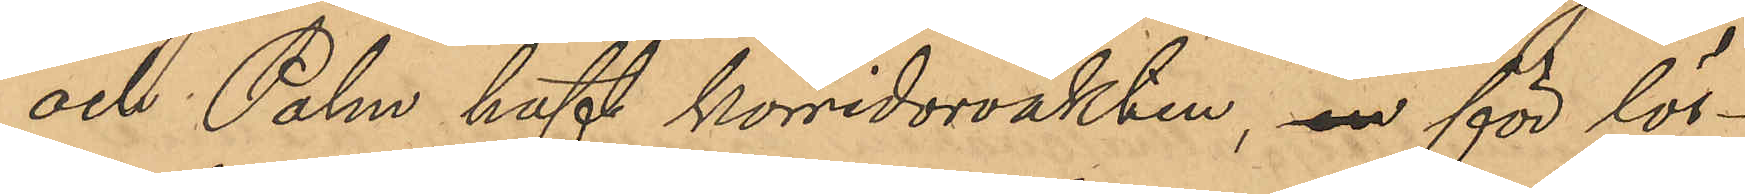och Palm haft korridorvakten, en för lös¬
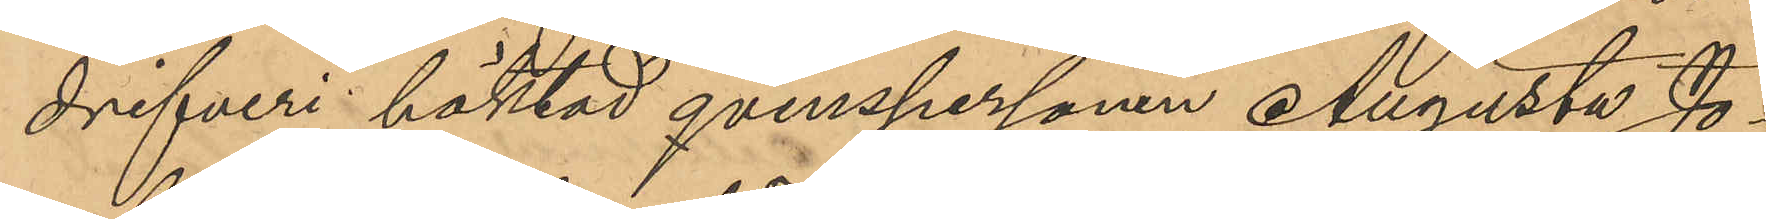drifveri häktad qvinspersonen Augusta Jo¬
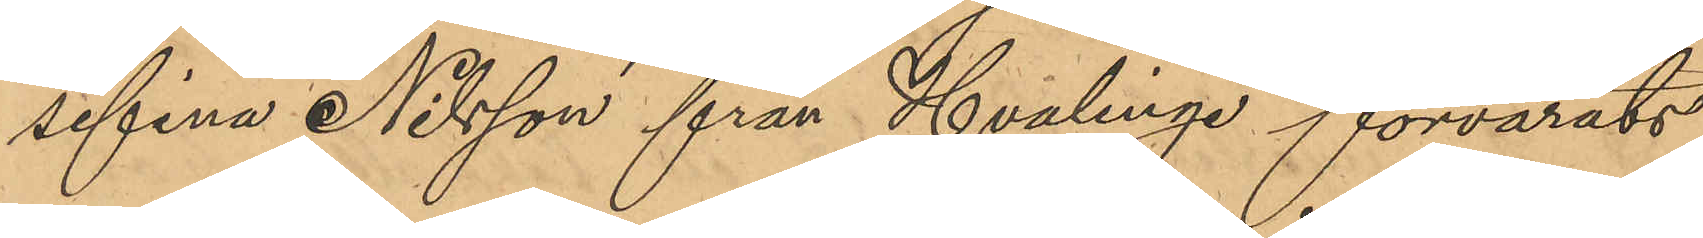sefina Nilsson från Hvalinge förvarats
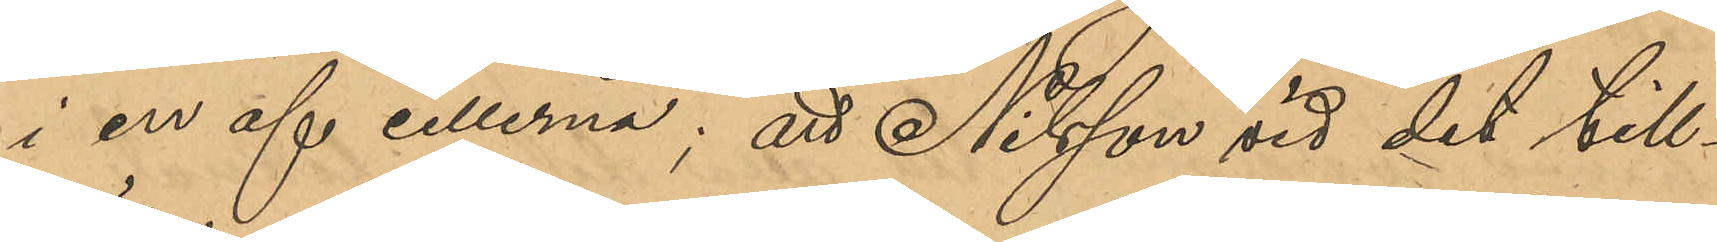i en af cellerna; att Nilsson vid de till¬
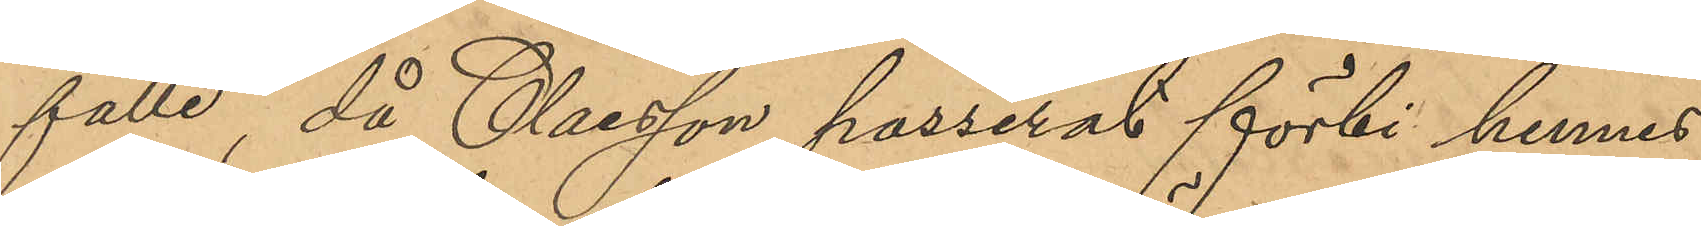fälle, då Claesson passerat förbi hennes
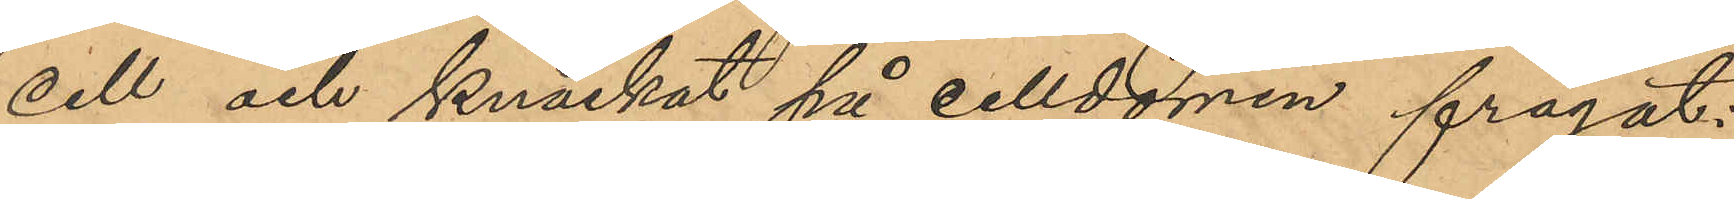cell och knackat på celldörren frågat:
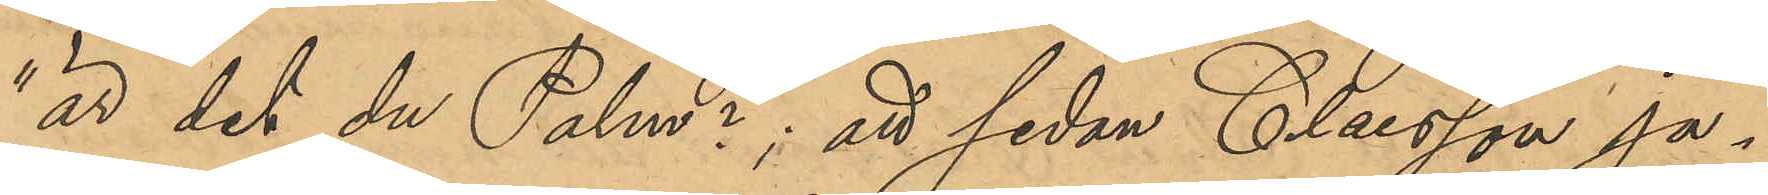"är det du Palm?"; att sedan Claesson ja¬
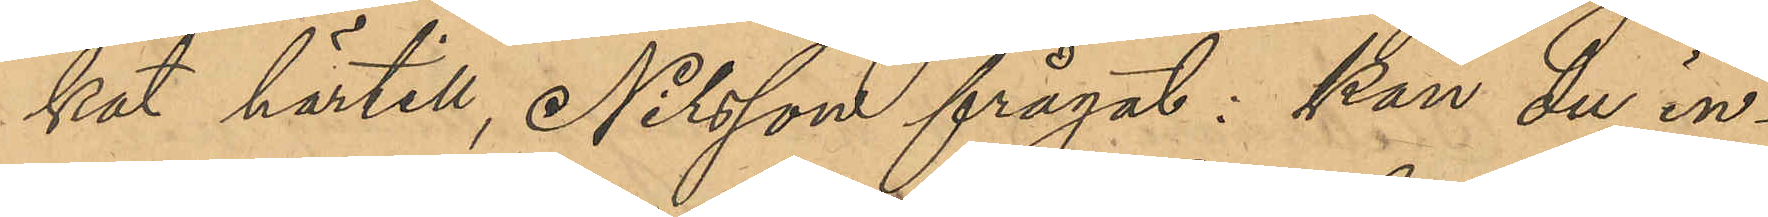kat härtill, Nilsson frågat: kan du in¬
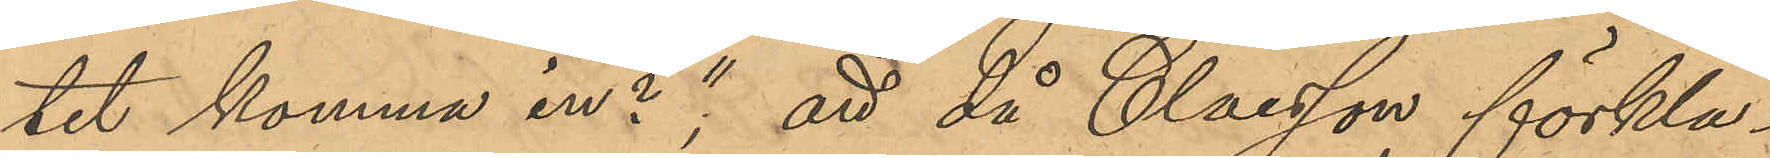tet komma in?"; att då Claesson förkla¬
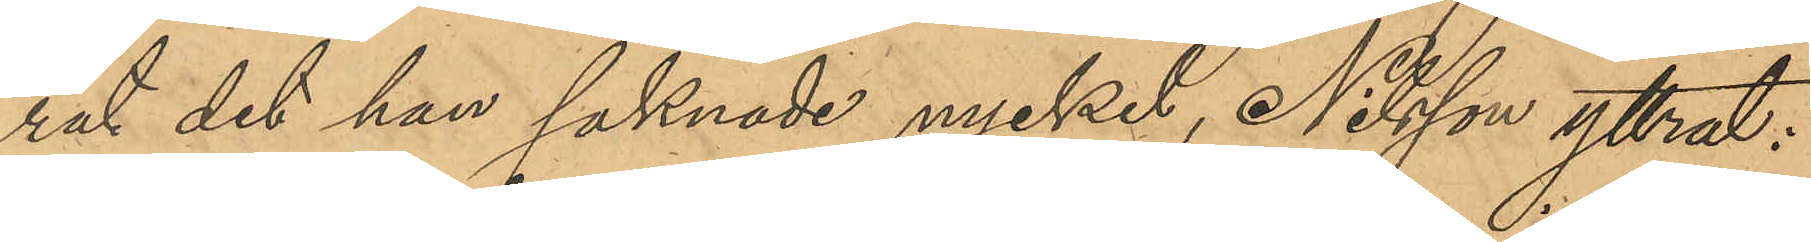rat det han saknade nyckel, Nilsson yttrat:
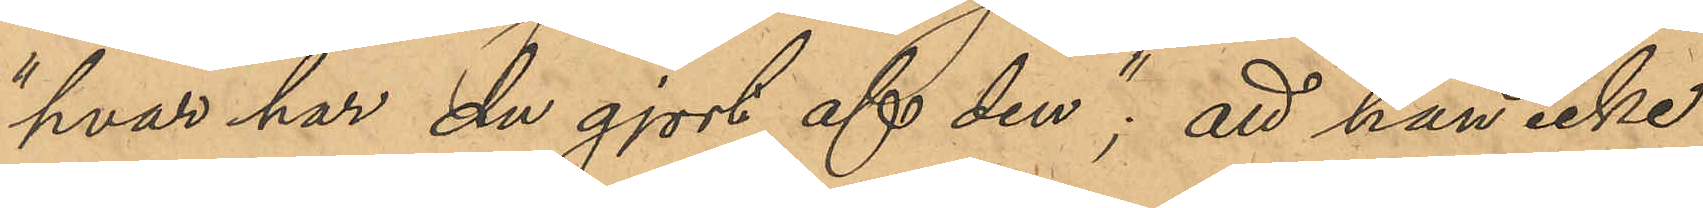"hvar har du gjort af den"; att han icke
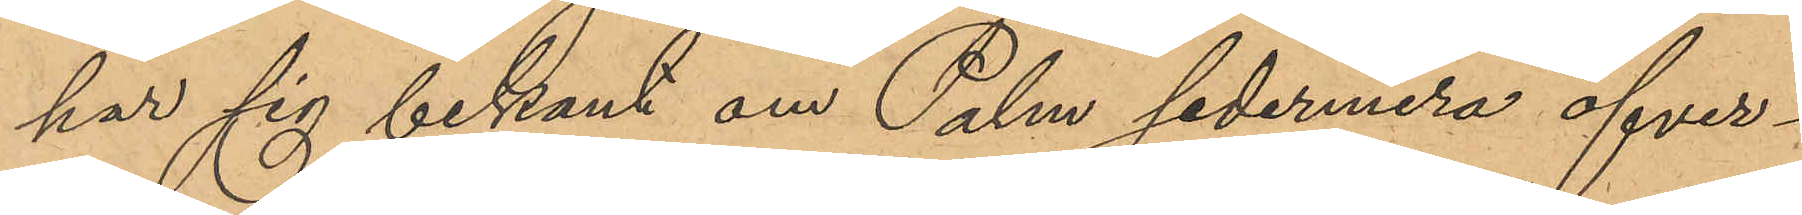har sig bekant om Palm sedermera öfver¬
